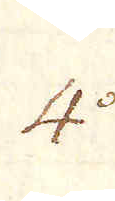4:o
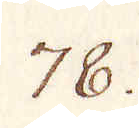78.
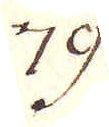79.
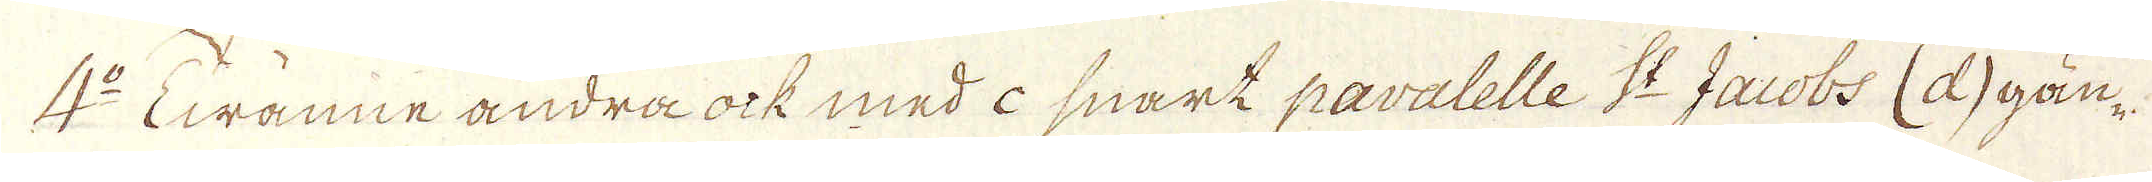4:o Twänne andra ock med i snart paralelle S:t Jacobs (d) gån-
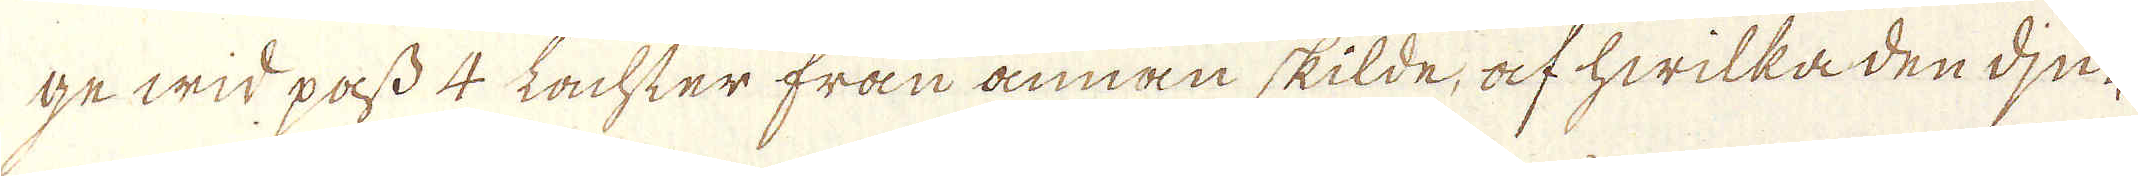ge wid pass 4 Lachter från annan skilde, af hwilka den dju-
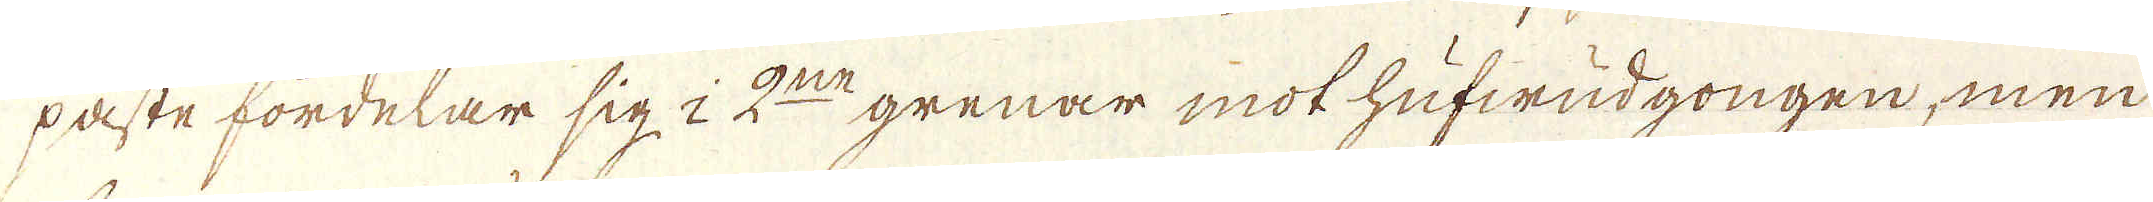paste fördelar sig à 2:ne grenar mot hufwudgongen, men
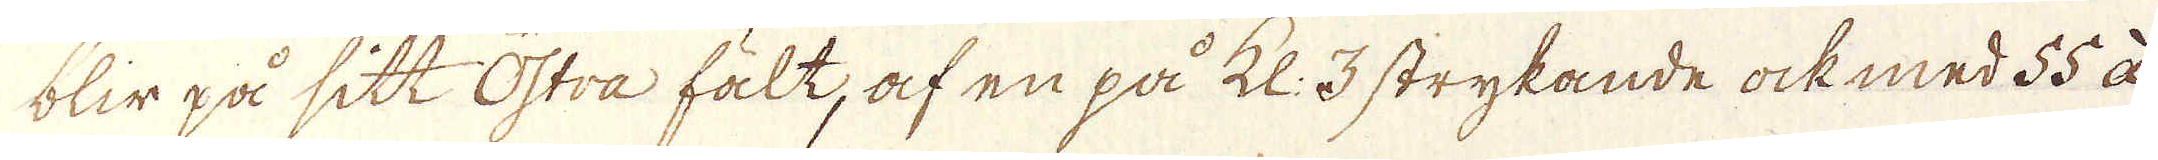blir på sitt östra fält, af en på kl: 3 strykande ock med 55 à
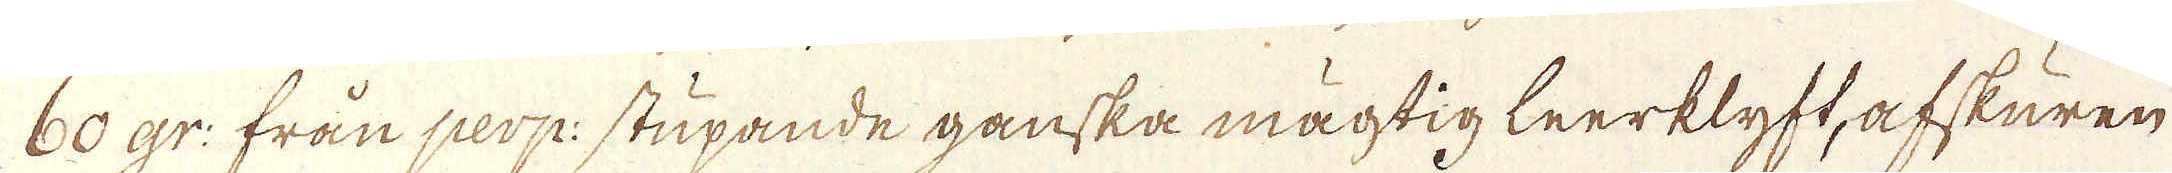60 gr: från perp: stupande ganska mägtig leerklyft, afskuren
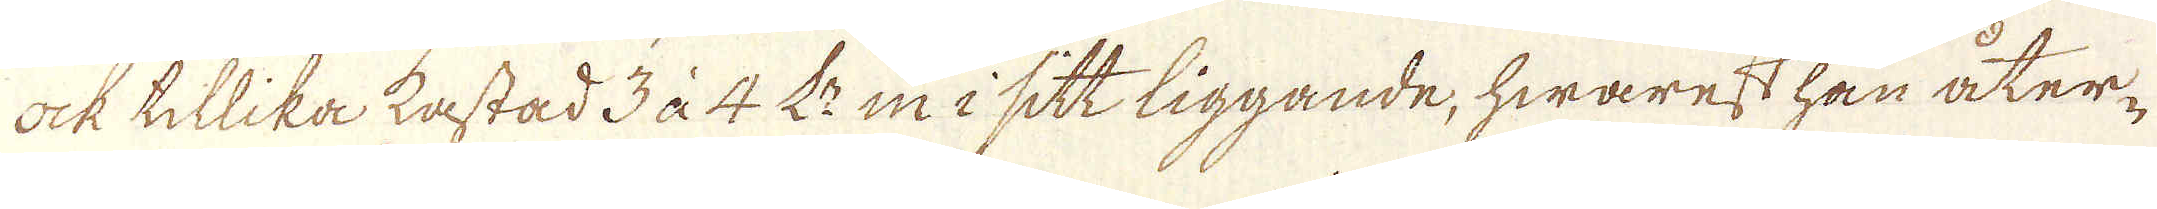ock tillika kastad 3 à 4 L:r in i sitt liggande, hwarest han åter-
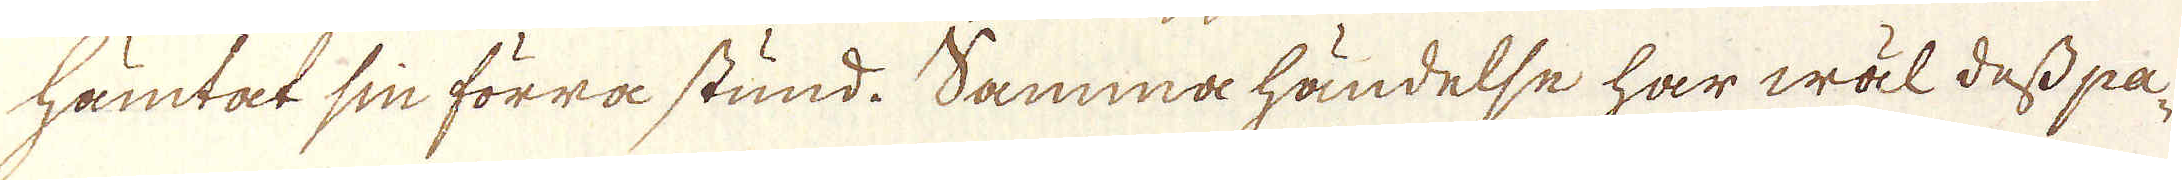hämtat sin förra stund. Samma händelse har wäl dess pa-
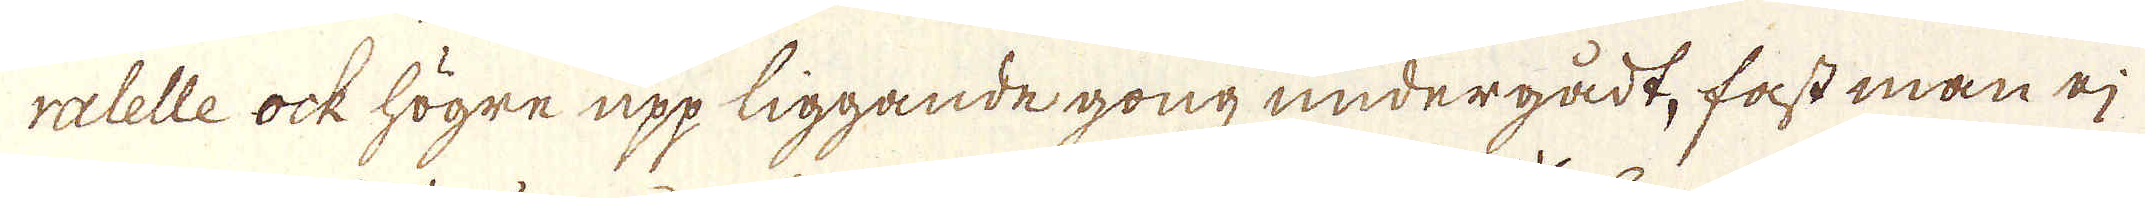ralelle ock högre upp liggande gong undergådt, fast man ej
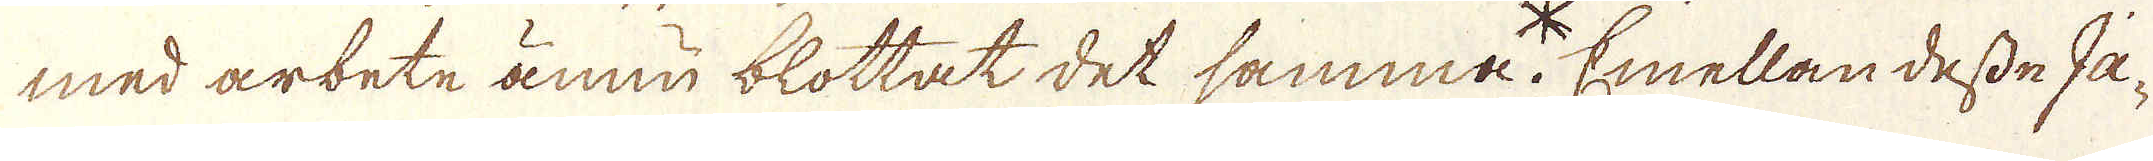med arbete ännu blottat det samma.* Emellan desse Ja-
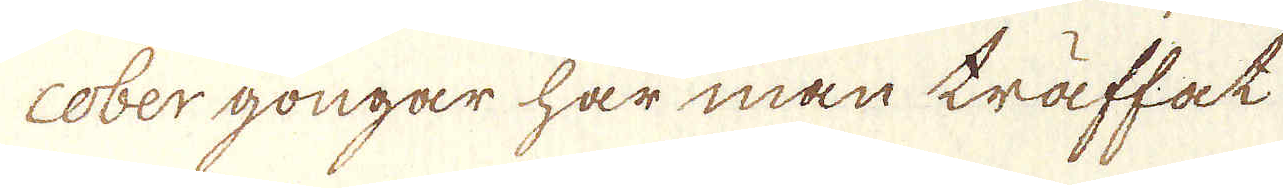cober gongar har man träffat
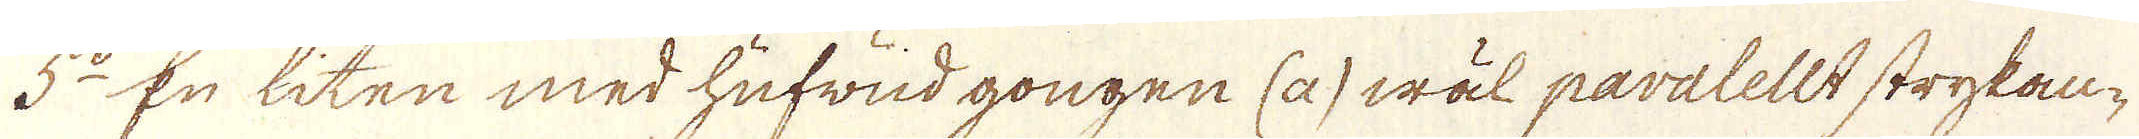5:o En liten med hufwud gongen (a) wäl paralellt strykan-
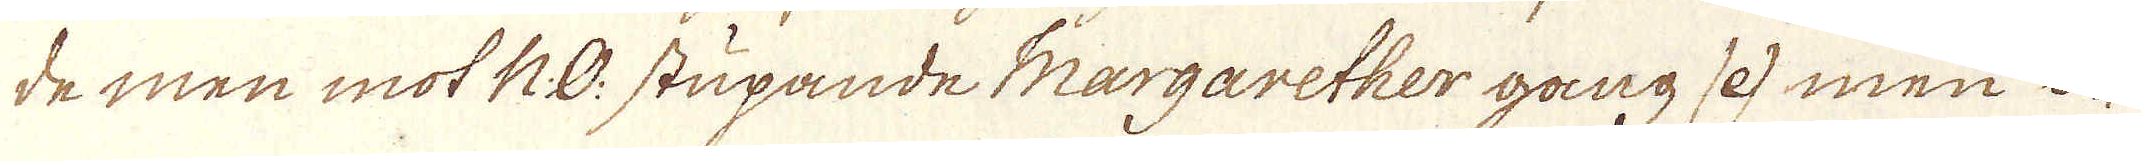de men mot N:O stupande Margarether gång 12 men o-
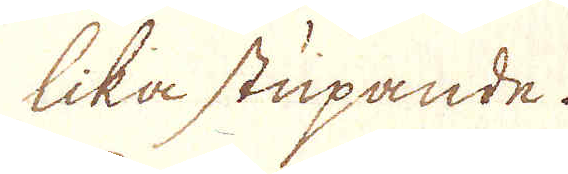lika stupande.
